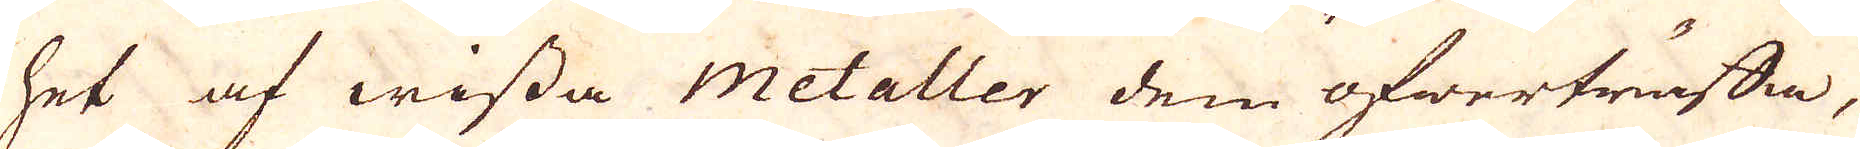het af wissa Metaller dem öfwerträffa,
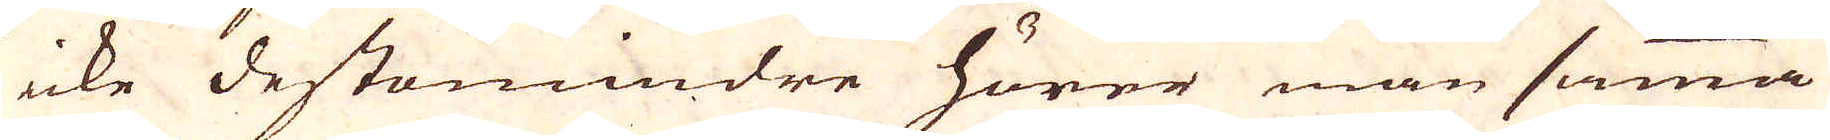icke destomindre hörer man samma
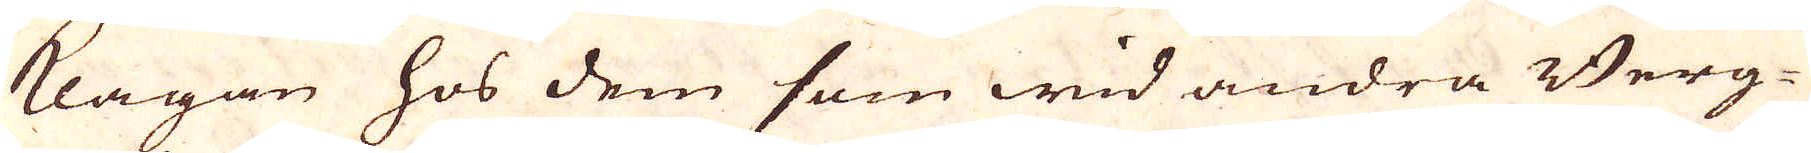klagan hos dem som wid andra Berg-
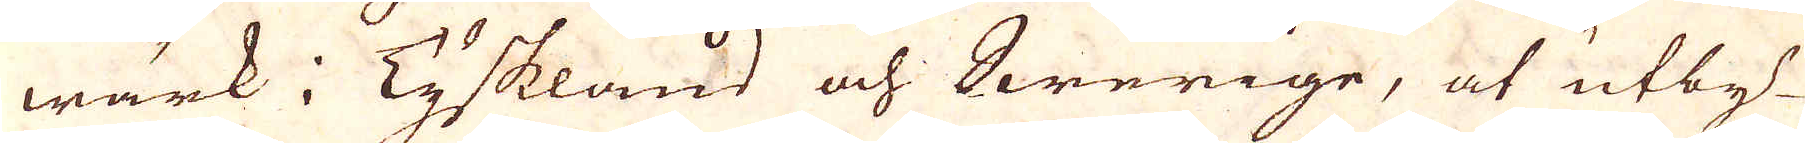wärk i Tyskland och Swerige, at utby-
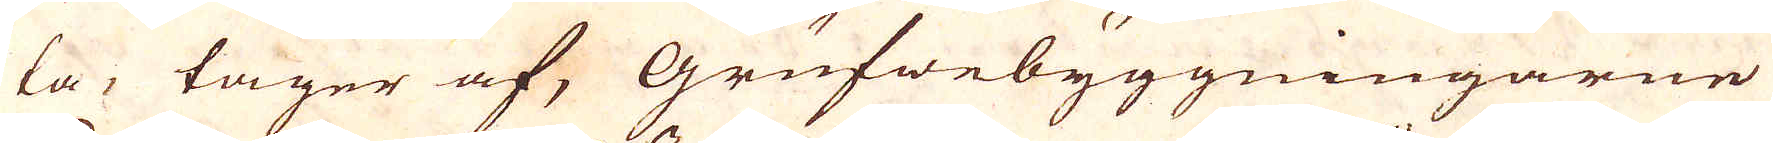ta, tager af, Grufwebyggningarne
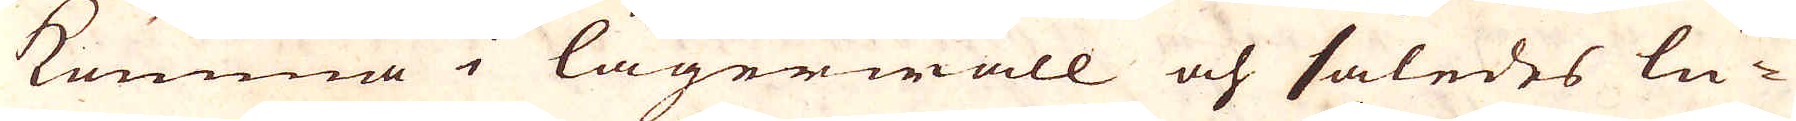komma i lägerwall och således lu-
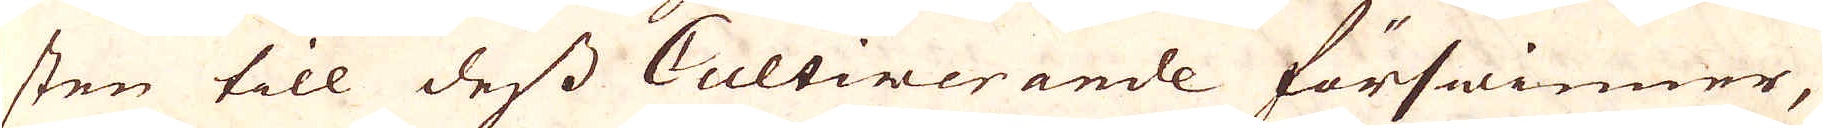sten till dess Cultinerande förswinner,
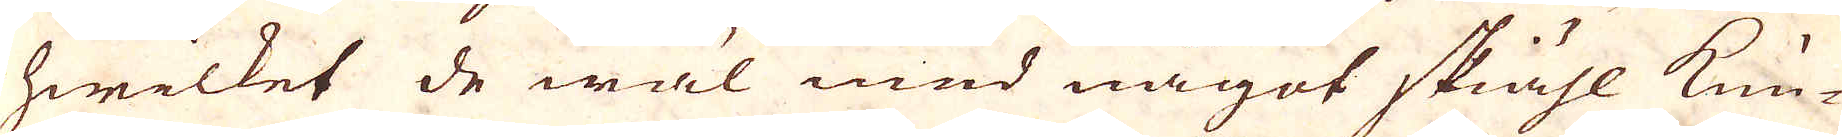hwilket de wäl med något skiähl kun-
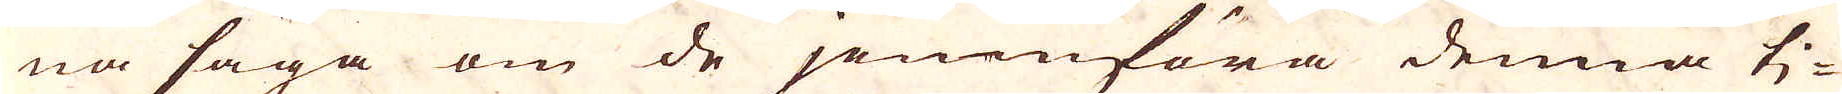na säga om de jemnföra denna ti-
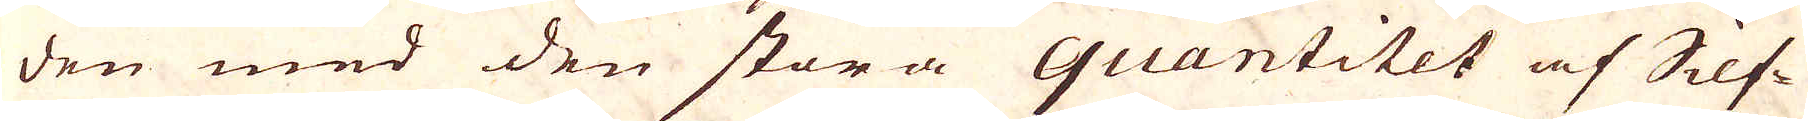den med den stora quantitet af Silf-
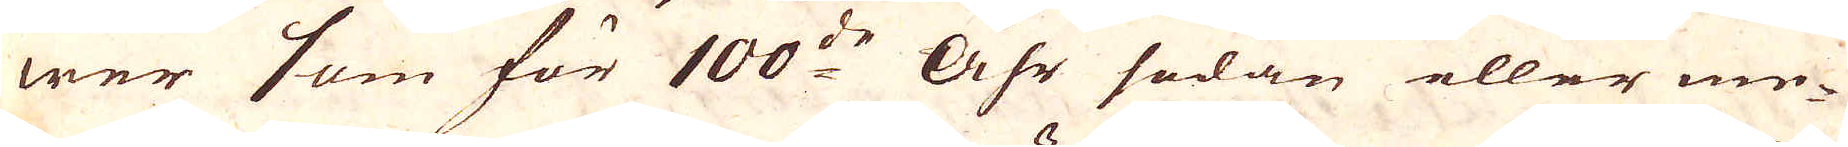wer som för 100:de Åhr sedan eller me-
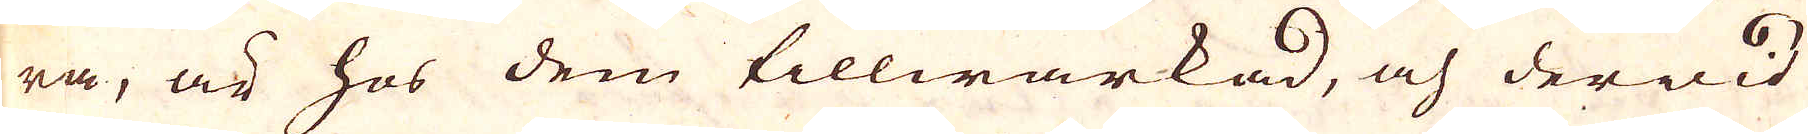ra, är hos dem tillwärkad, och derwid
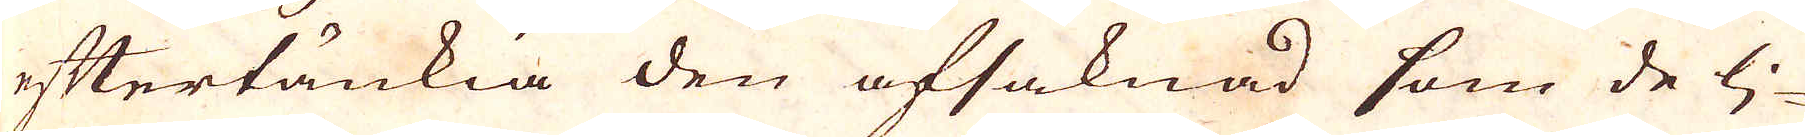eftertänkia den afsaknad som de lj-
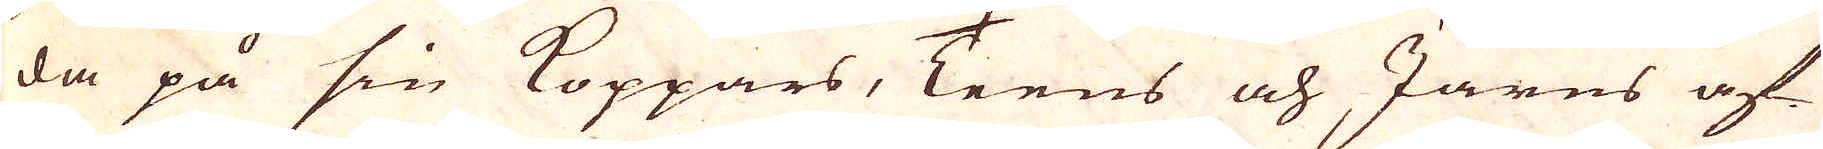da på sin Koppars, Teens och Järns af-
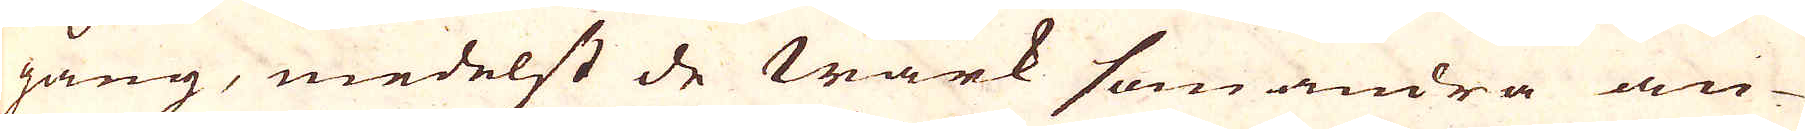gång, medelst de wärk som andra an-
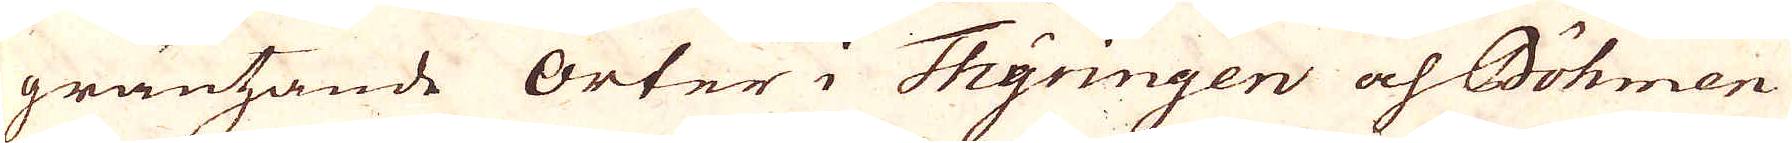gränsande orter i Thyringen och Böhmen
